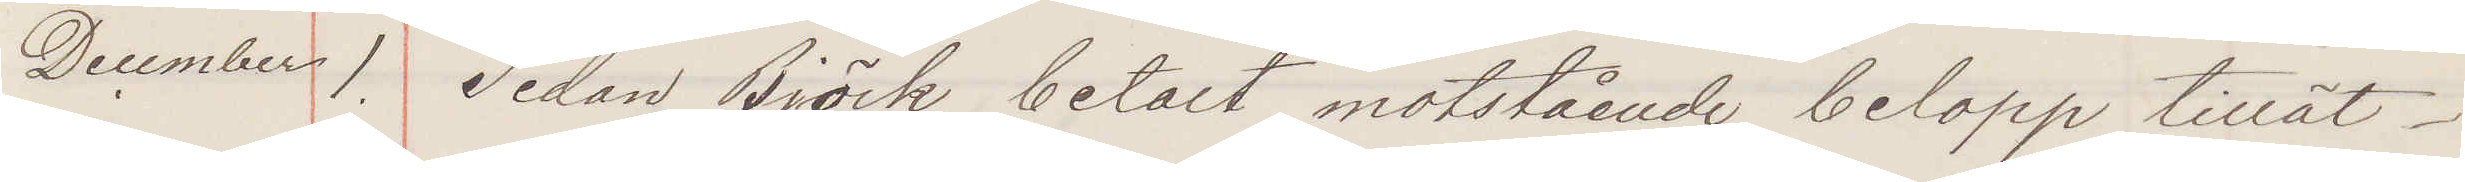December 1. Sedan Björk betalt motstående belopp tillät
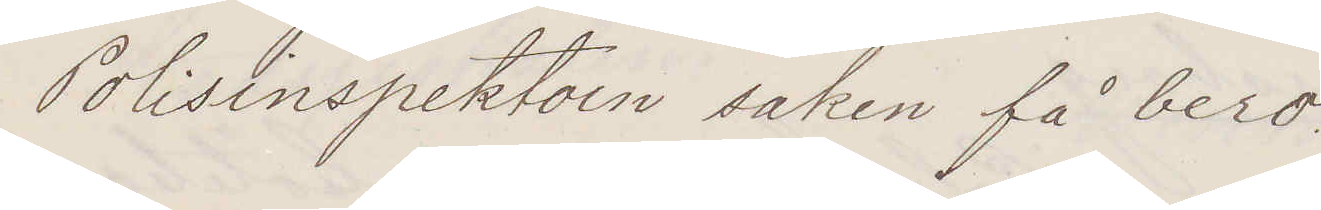Polisinspektorn saken få bero.
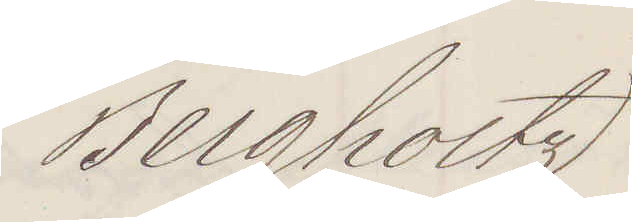Bergholtz
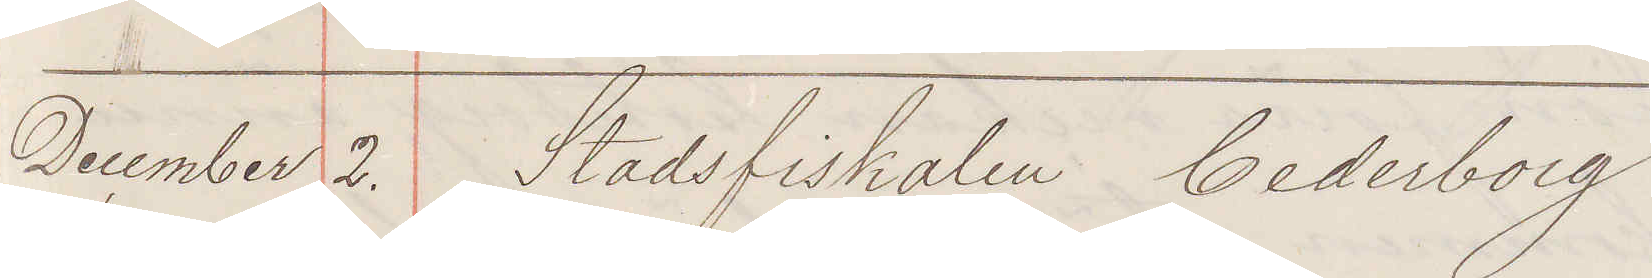December 2. Stadsfiskalen Cederborg
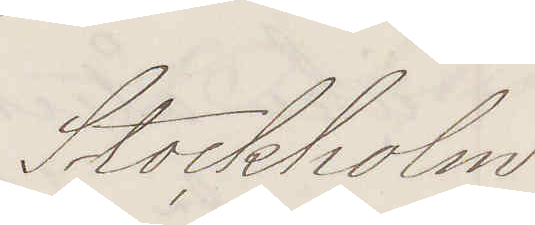Stockholm
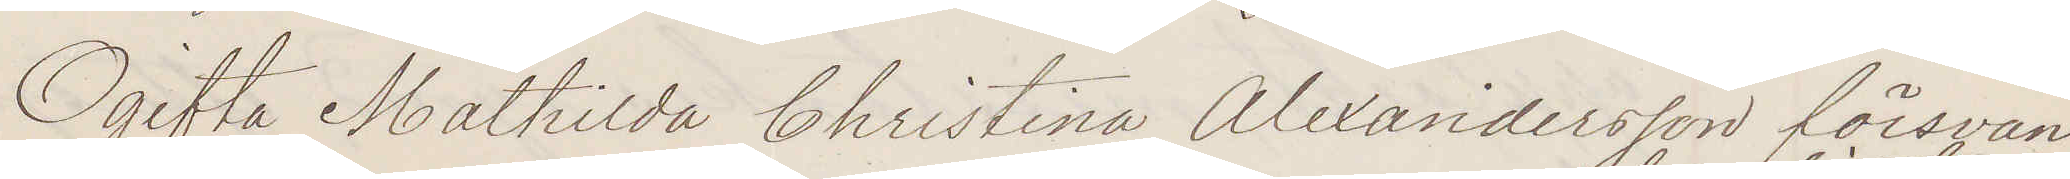Ogifta Mathilda Christina Alexandersson försvan
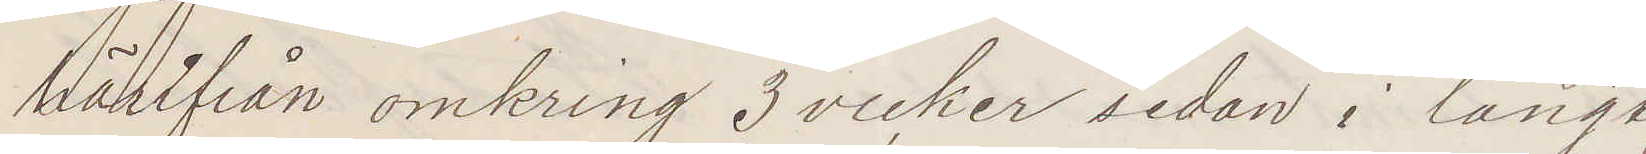härifrån omkring 3 vecker sedan i långt
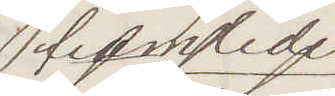framlidet
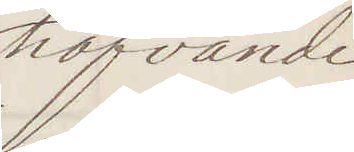hafvande
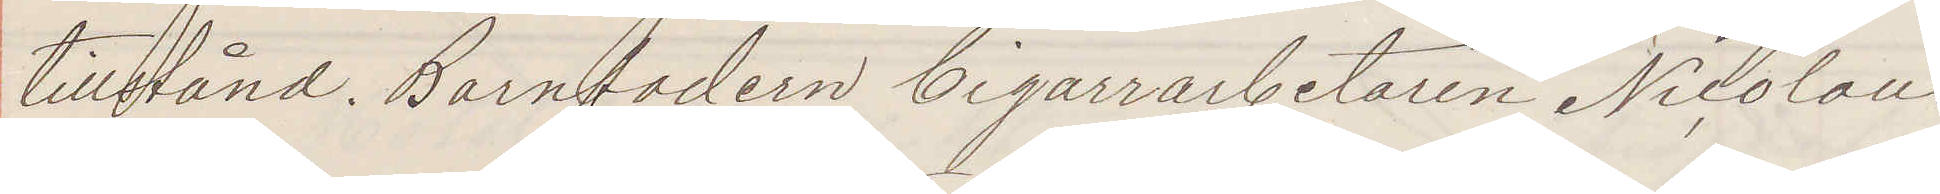tillstånd. Barnfadern Cigarrarbetaren Nicolaus
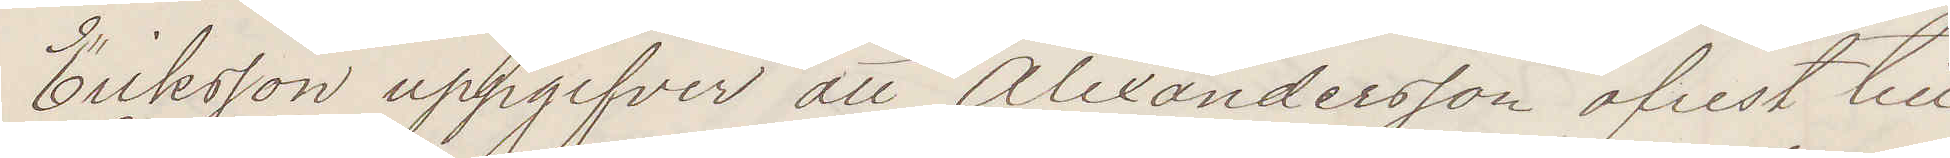Eriksson uppgifver att Alexandersson afrest till
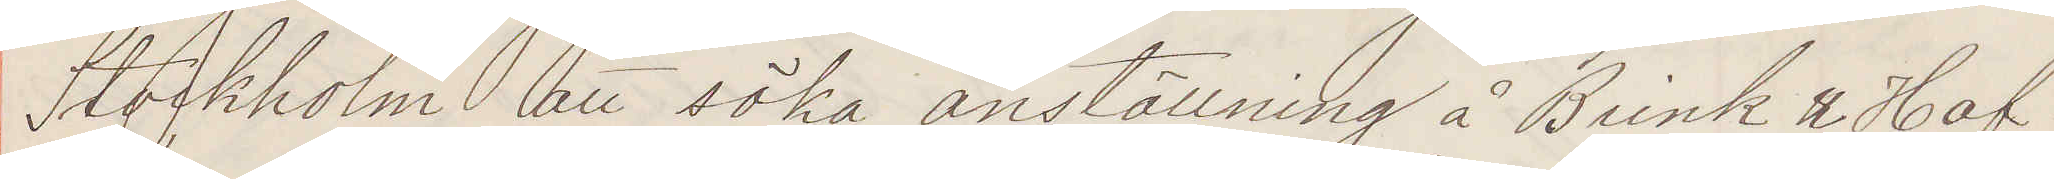Stockholm att söka anställning å Brink & Haf¬
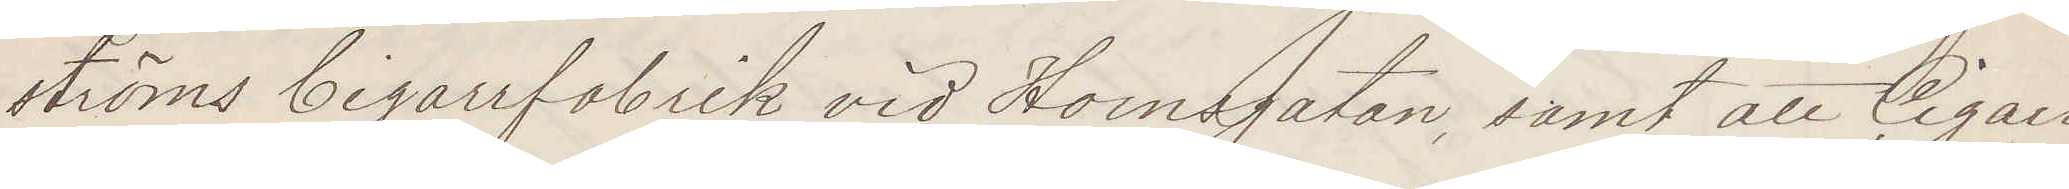ströms Cigarrfabrik vid Hornsgatan, samt att Cigarr¬
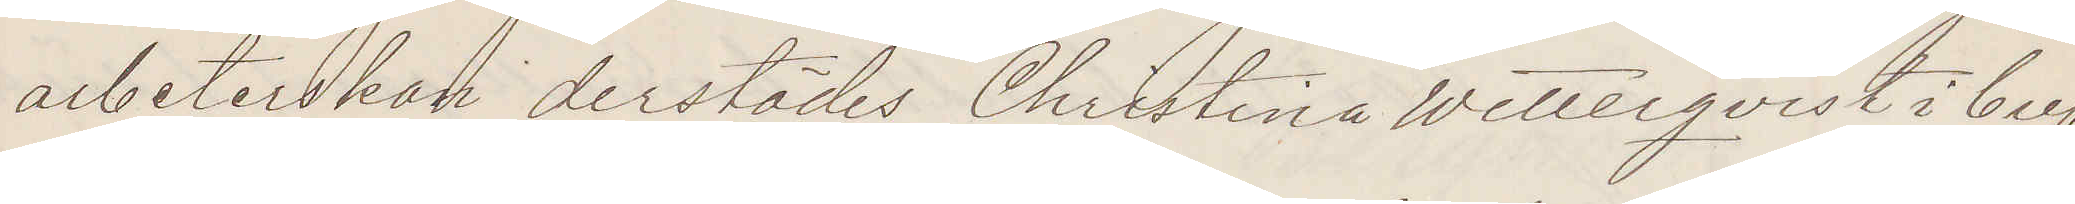arbeterskan derstädes Christina Wetterqvist i bref
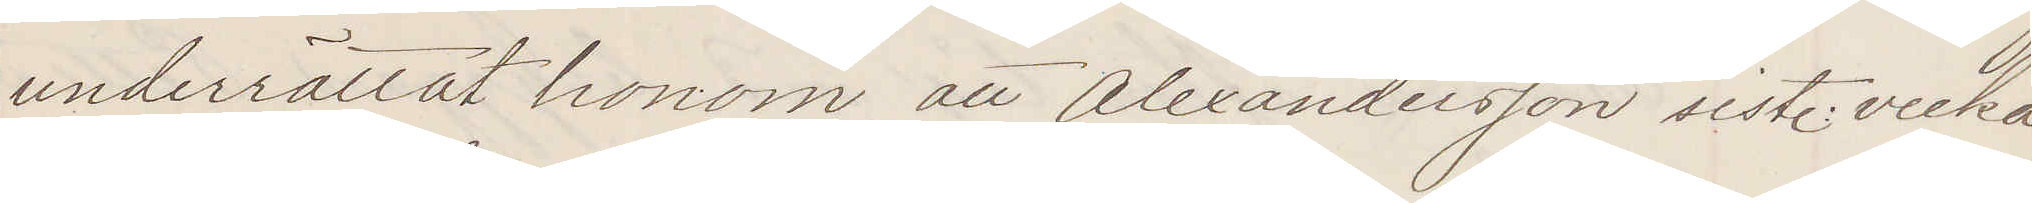underrättat honom att Alexandersson sist. vecka
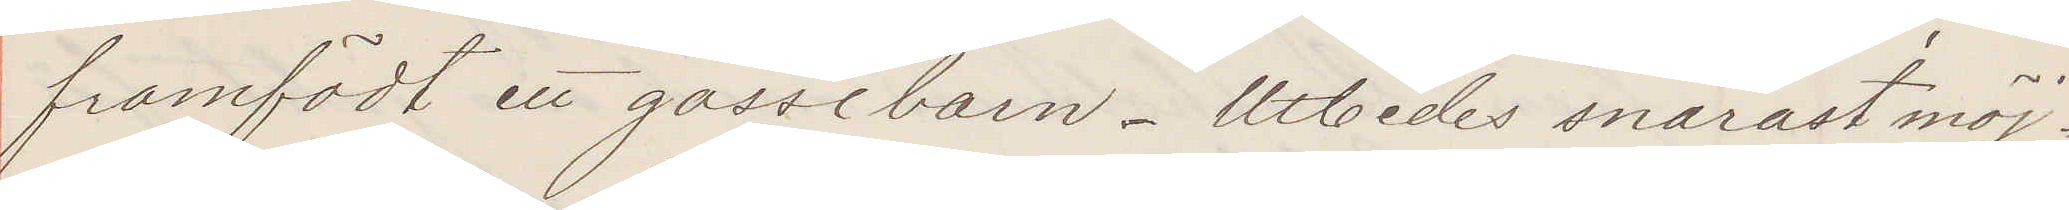framfödt ett gossebarn. Utbedes snarast möj¬
